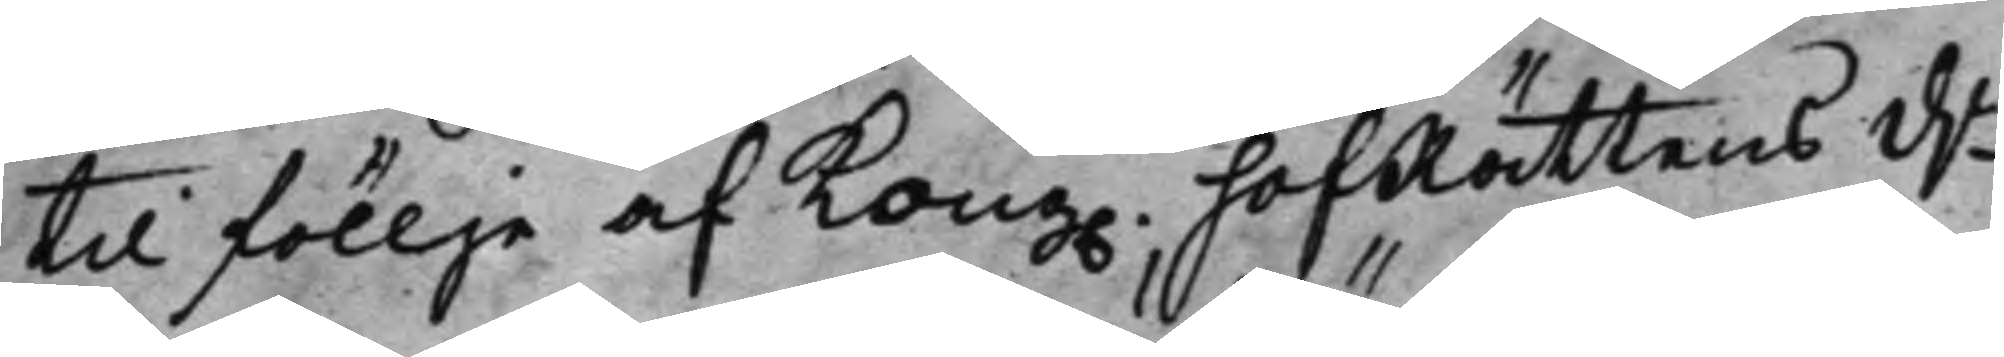til föllje af Kong. hofRättens d.
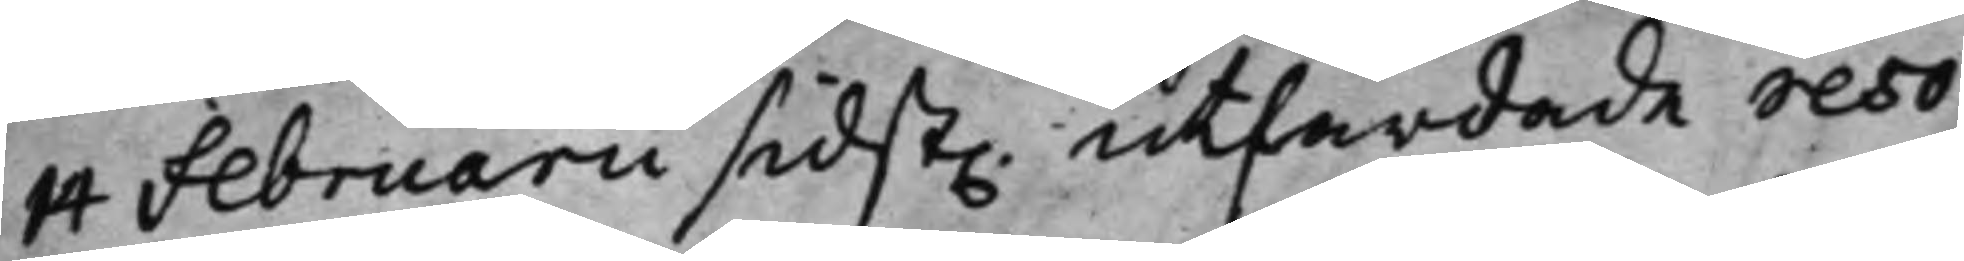14 Februarii sidst. utfärdade reso¬
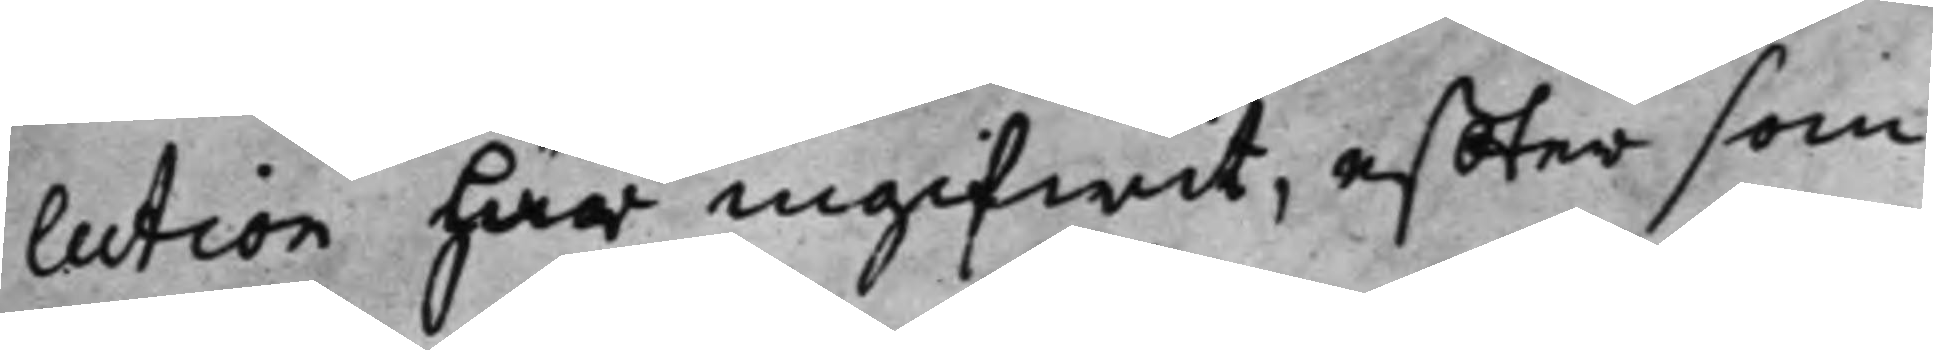lution här ingifwit, effter som
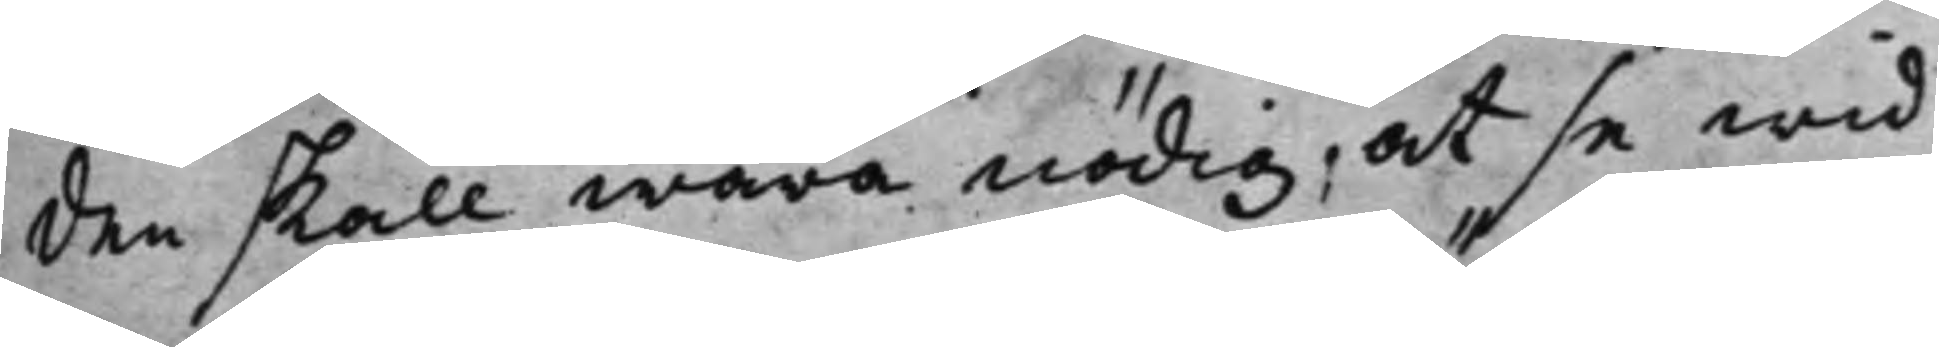den skall wara nödig, at se wid
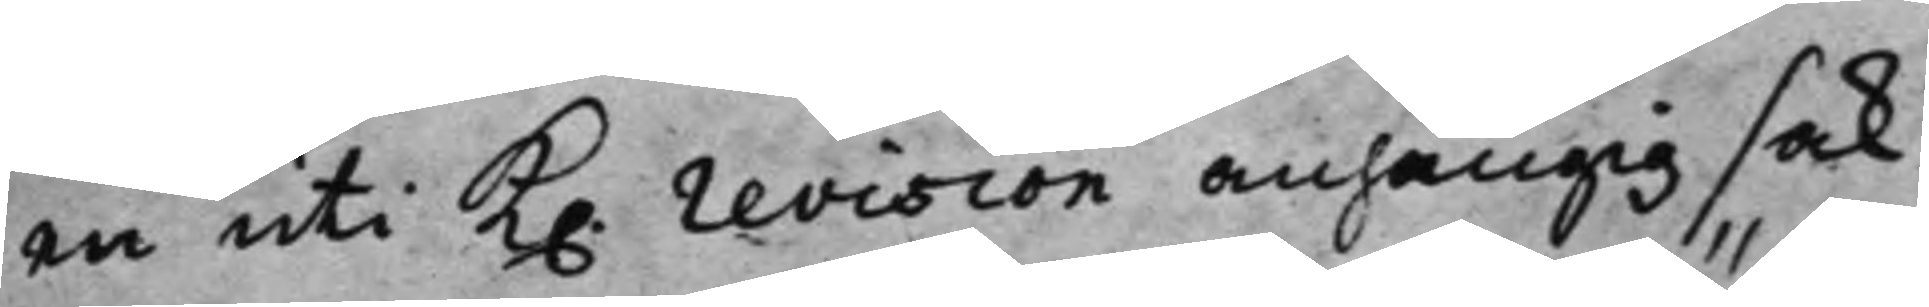en uti K. revision anhängig sak;
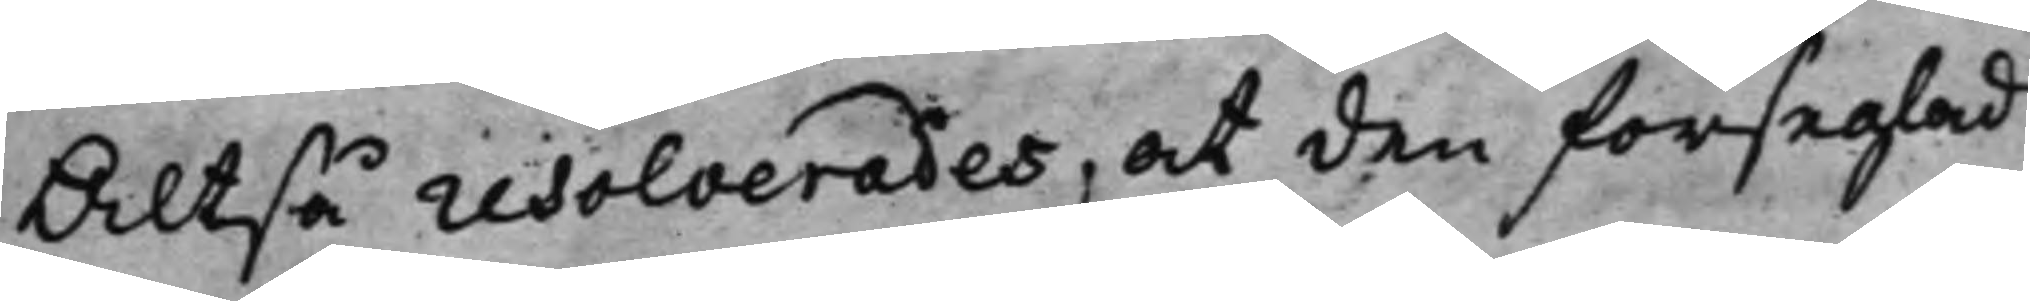Altså resolverades, at den förseglad
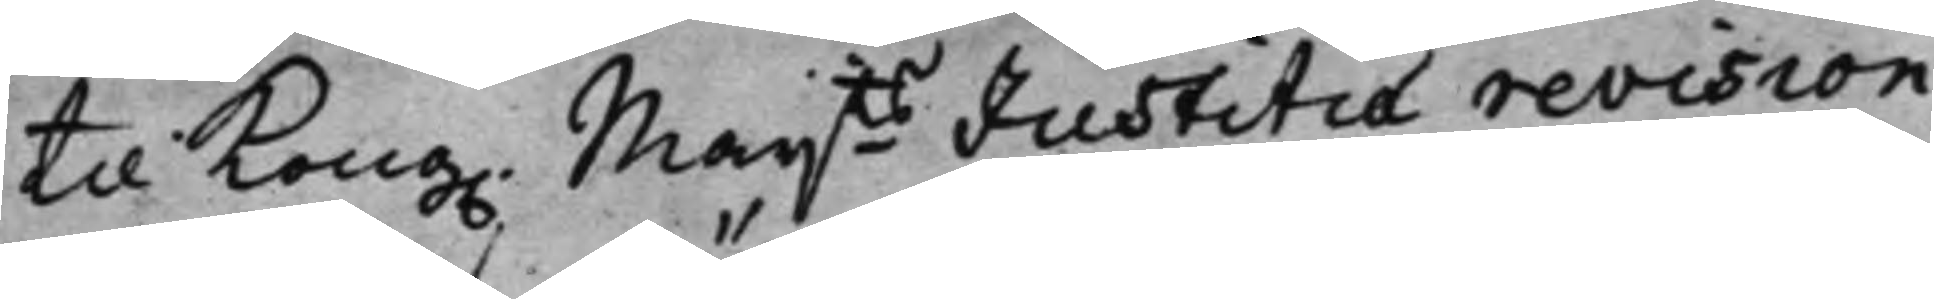til Kong. Maijts Justitiae revision
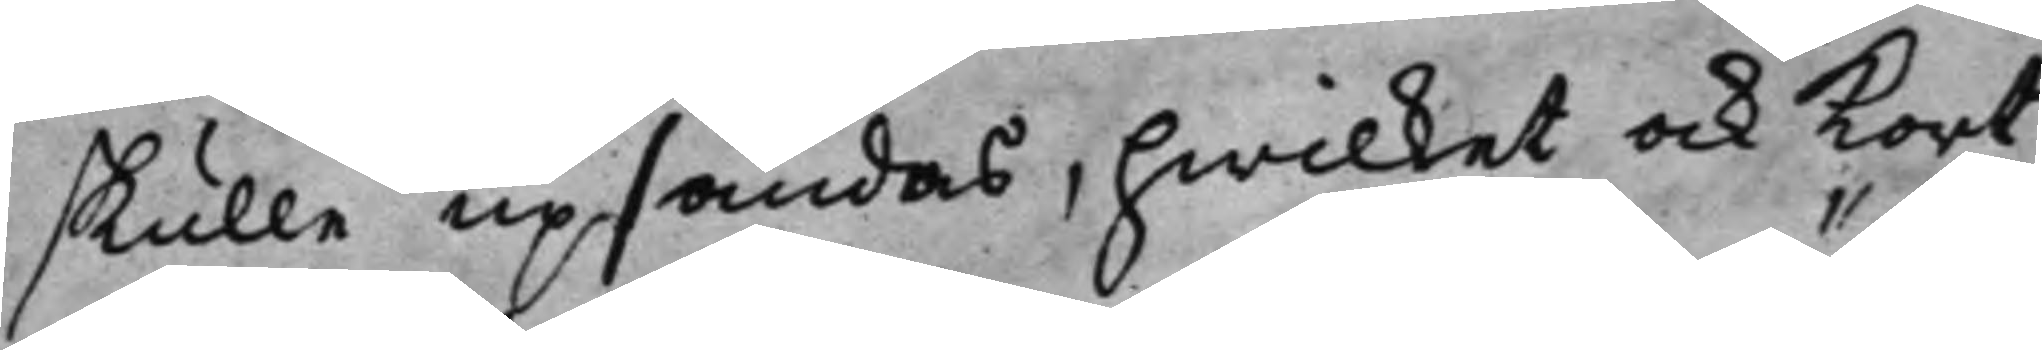skulle upsändas, hwilket och Kort
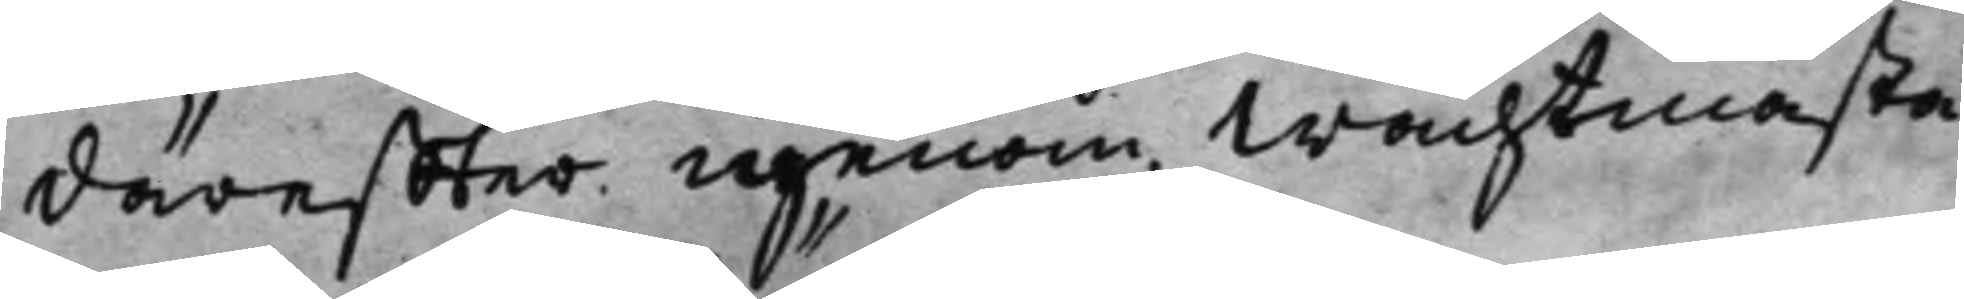däreffter igenom Wachtmästa¬
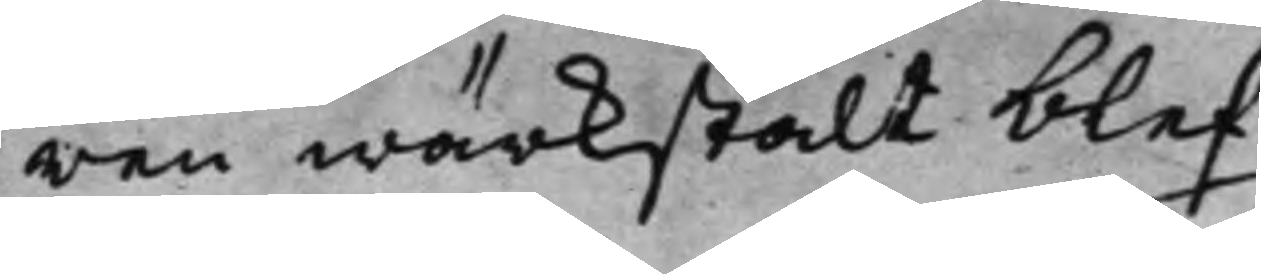ren wärkstält blef
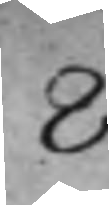8
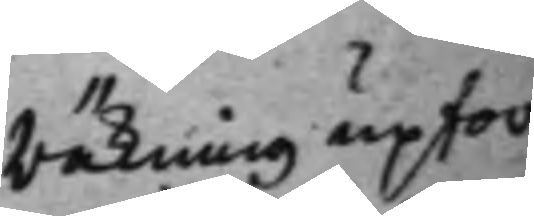Räkning upfor¬
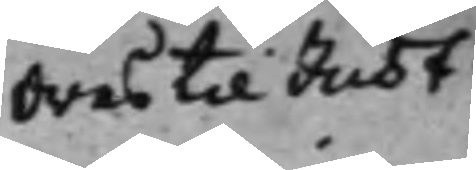dras till Just:
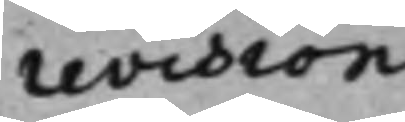revision
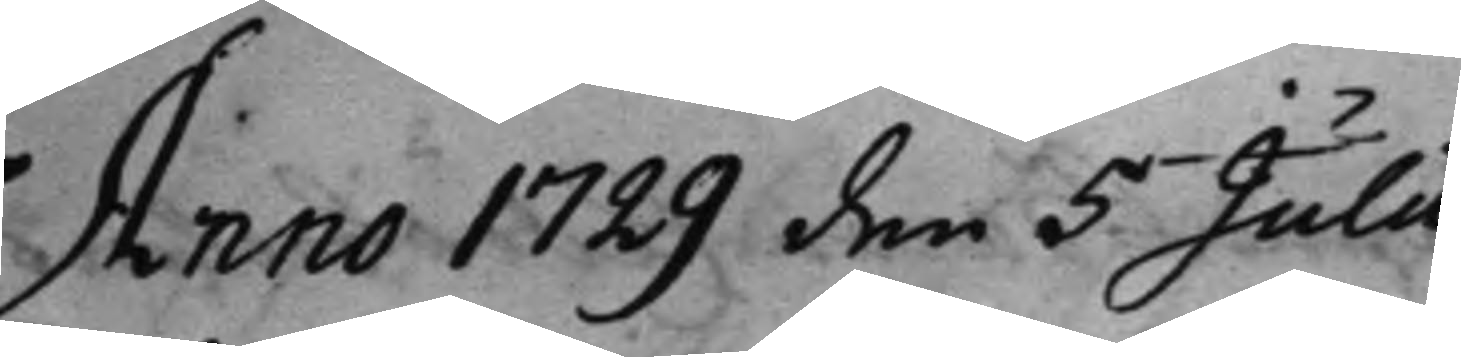Anno 1729 den 5 Julii
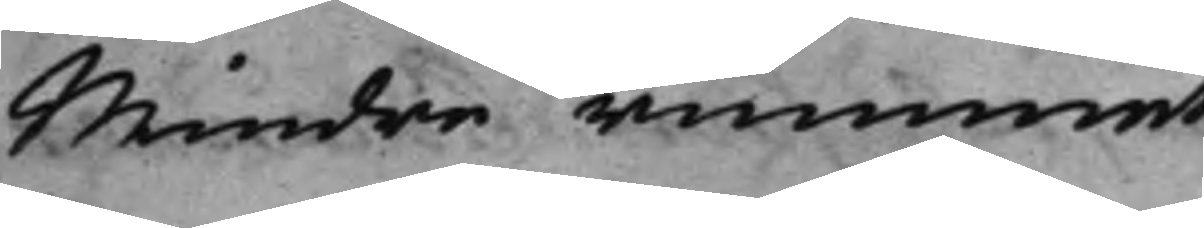Mindre rummet
